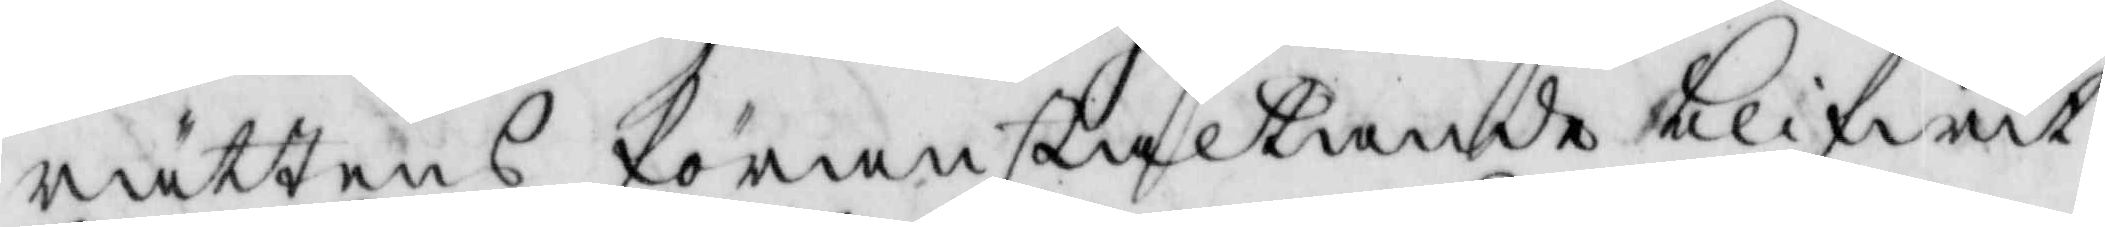rättens föranstaltande blifwit
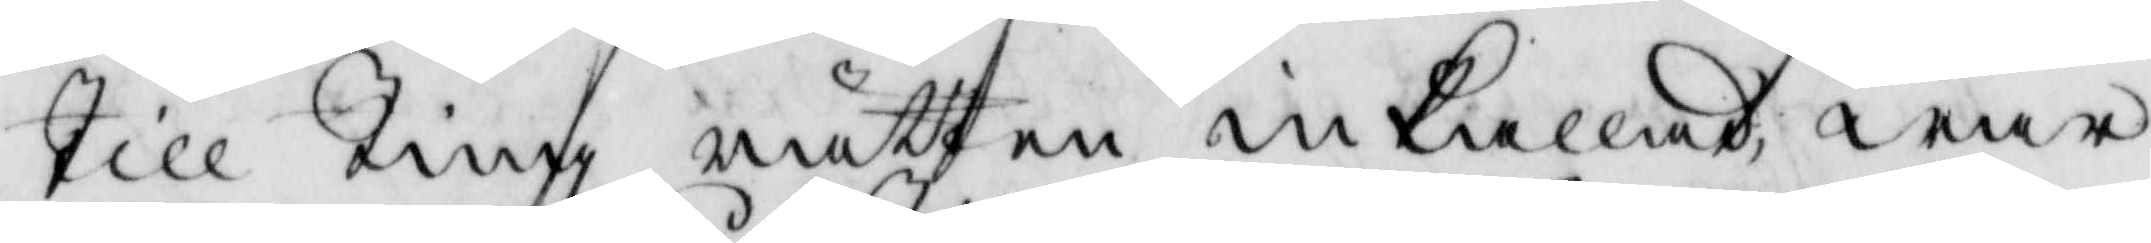Till Tingz rätten inkallad, war
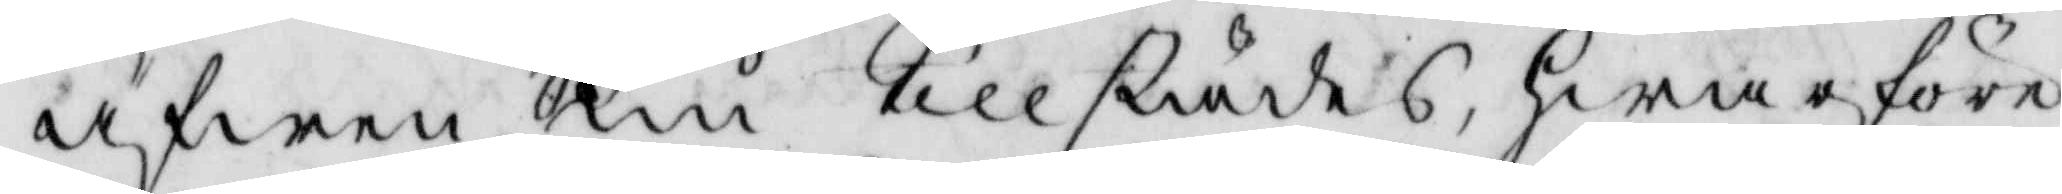äfwen nu tillstädes, hwarföre
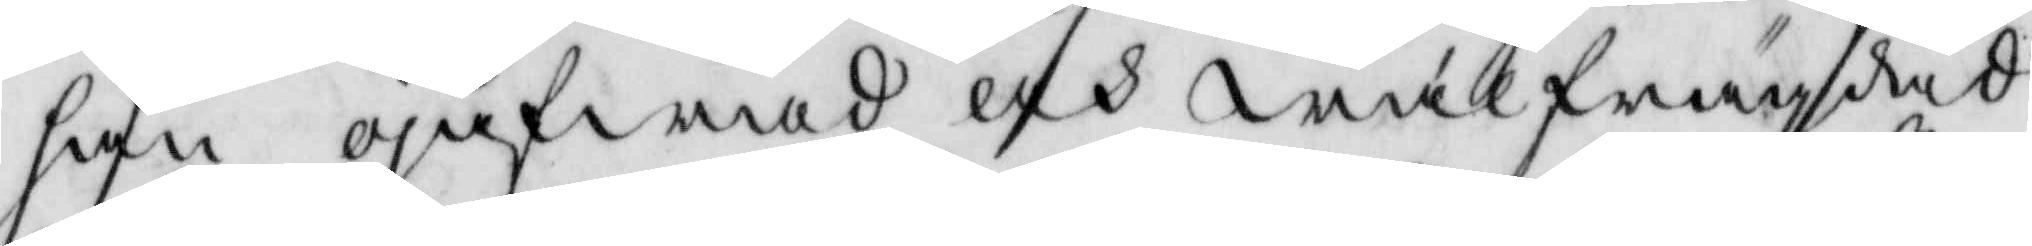han ojäfwad och wälfrägdad
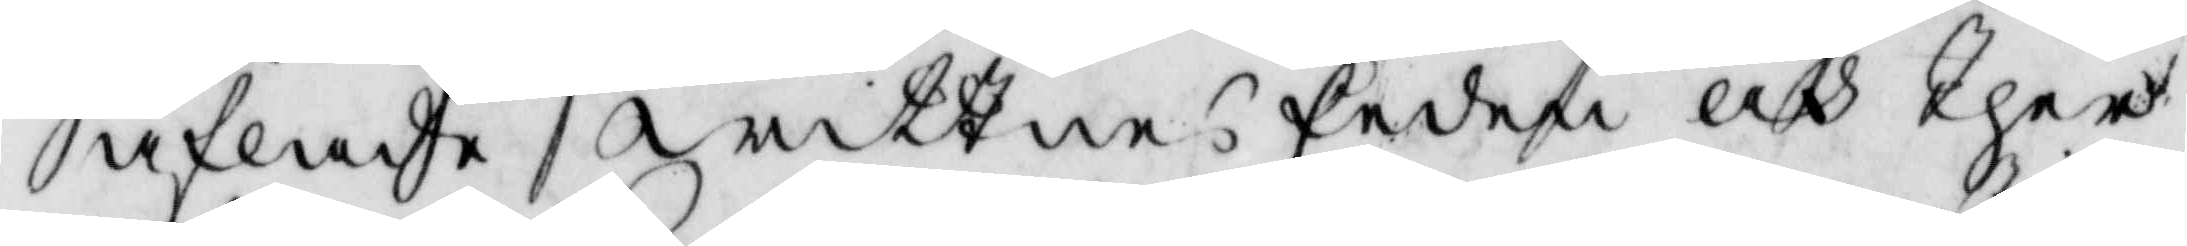afladhe wittnes Eeden och ther
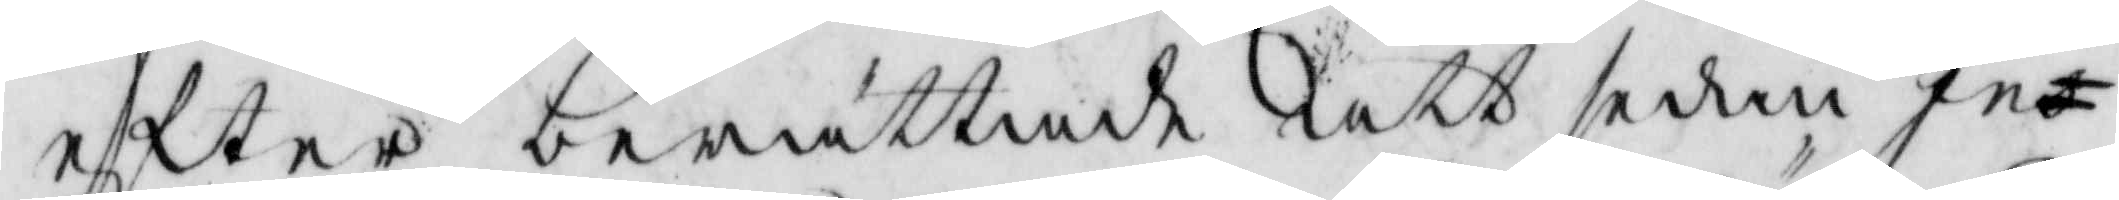effter berättade att sedan In¬
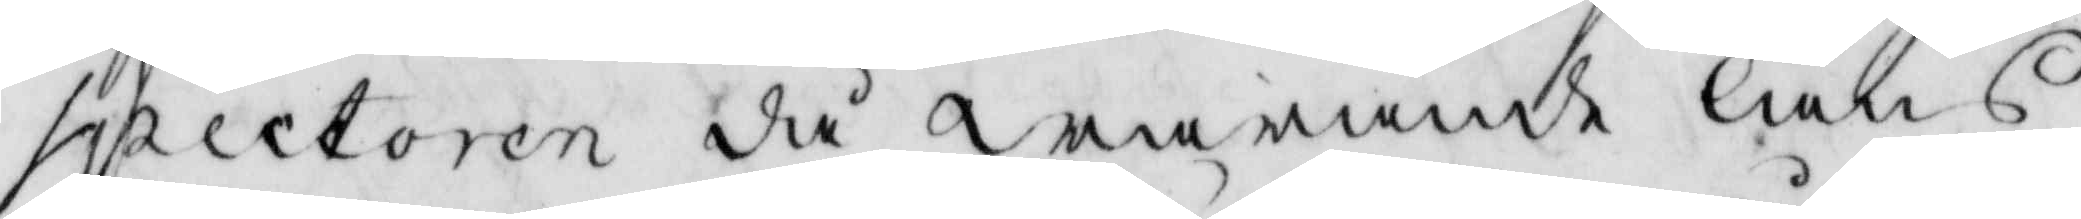spectoren då warande läns¬
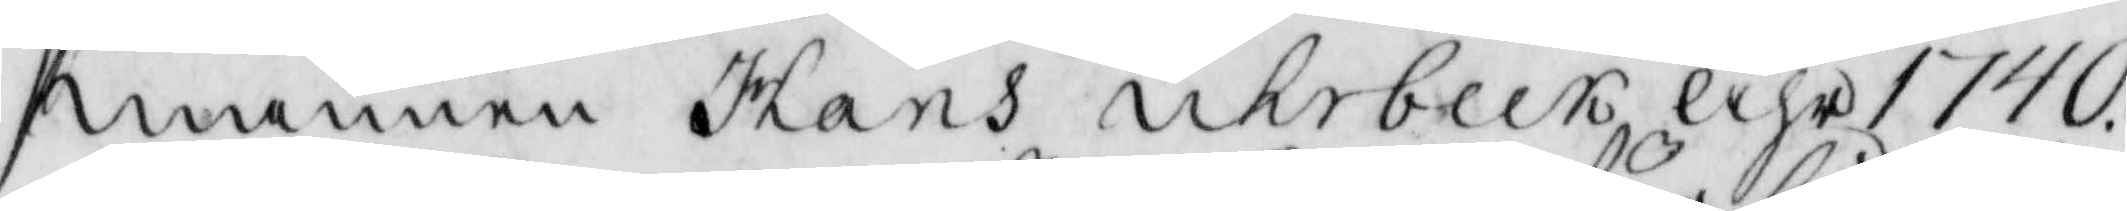mannen Hans ukebeck åhr 1740.
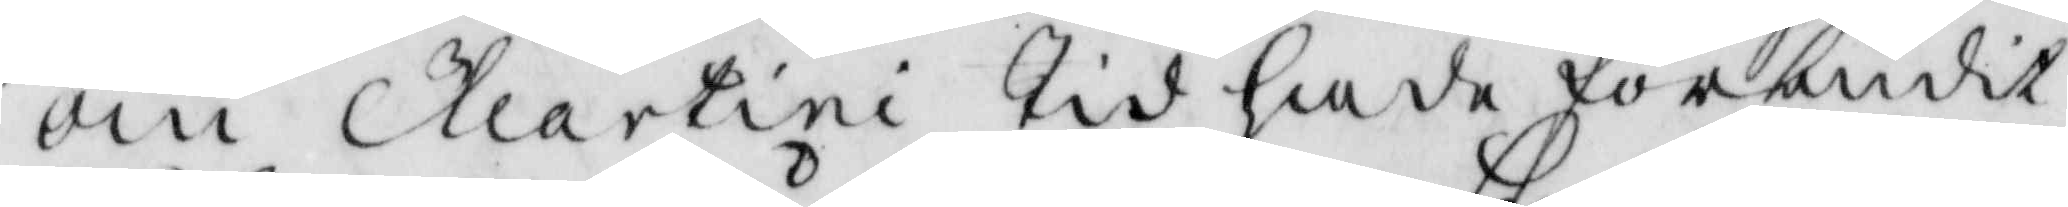om Klartini Tid hade förbudit
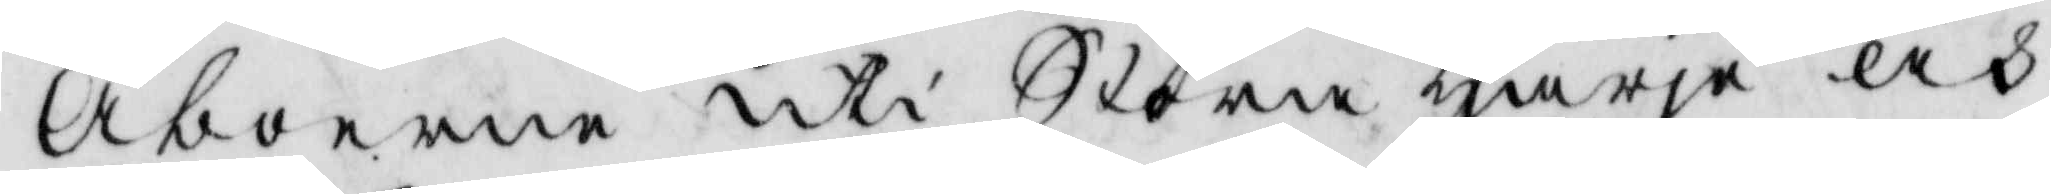Åboerne uti Stora Harje och
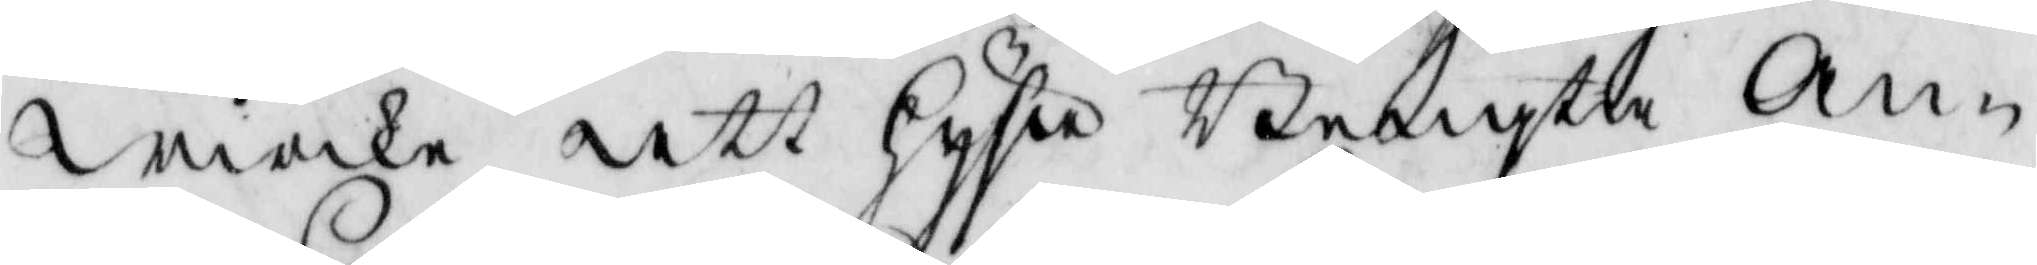wieke att Hysa Bengta An¬
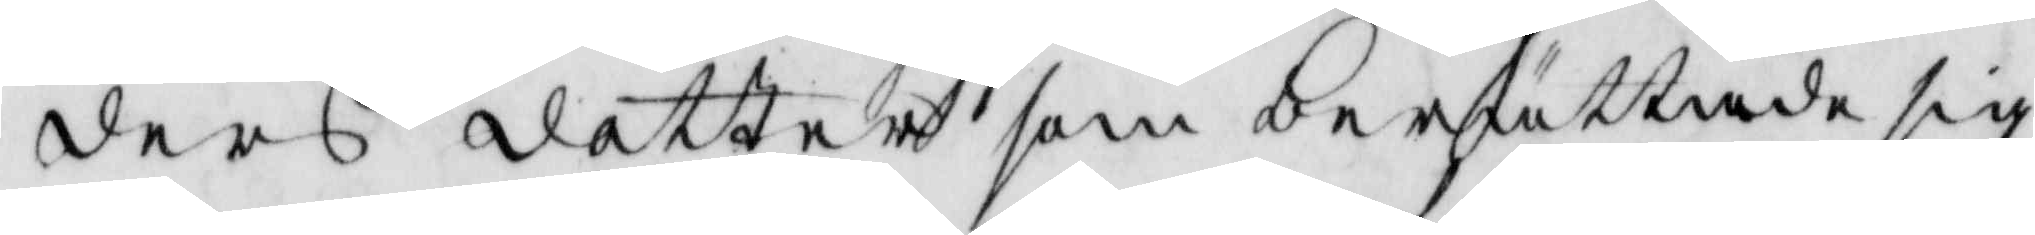ders dotter som berrättade sig
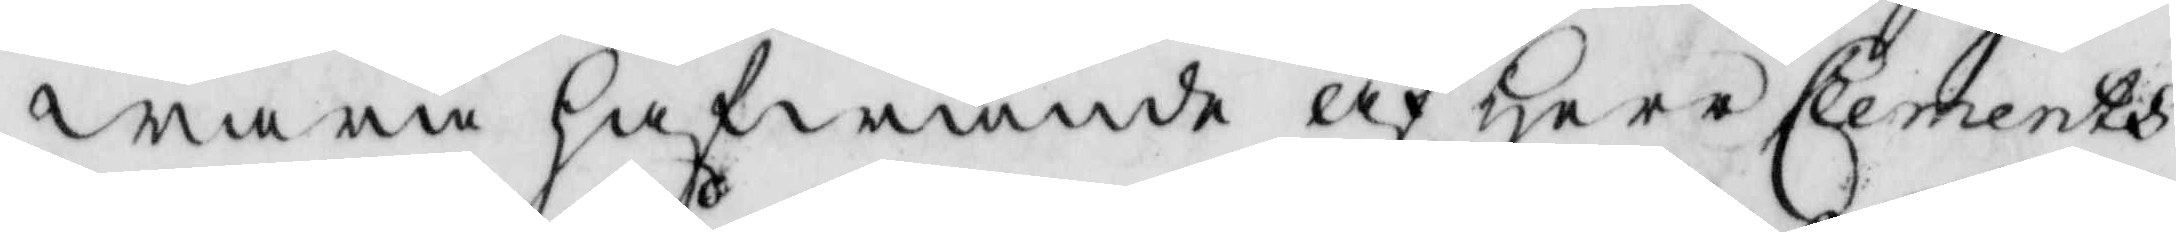wara hafwande af Herr Clements
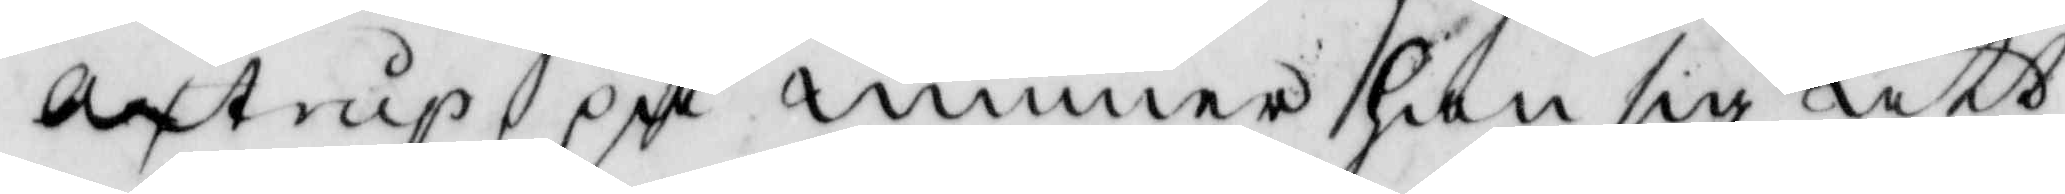Axtrup på minner han sig att
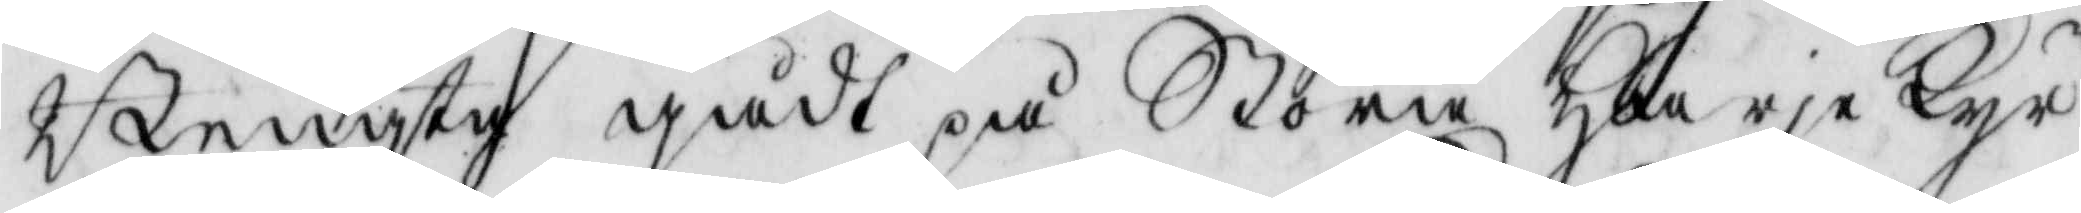Bengta gådt på Stora Harje Kyr¬
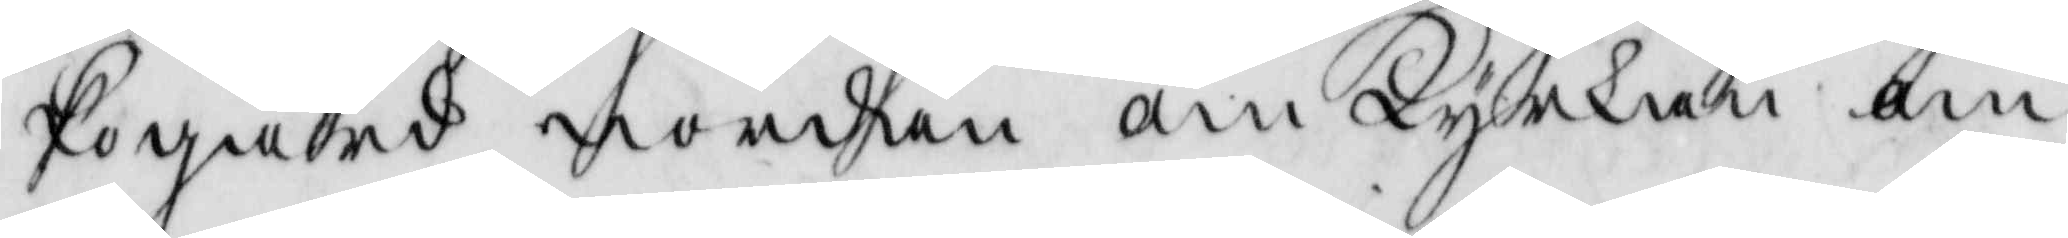kogård norden om kyrkan om
